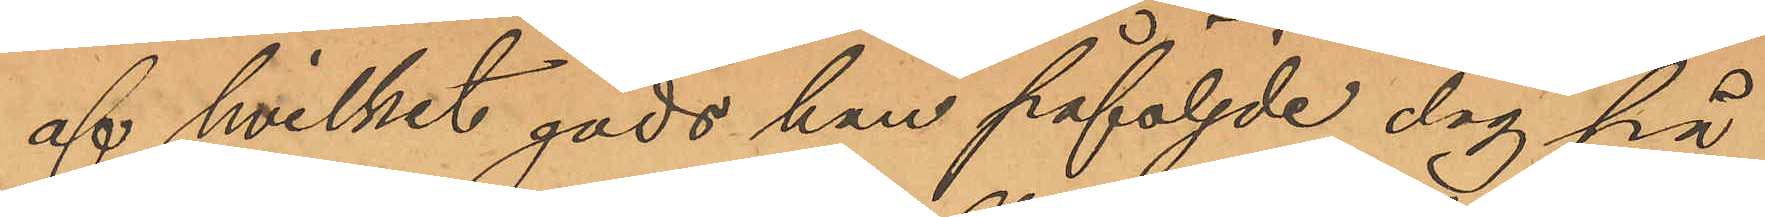af hvilket gods han påföljde dag på
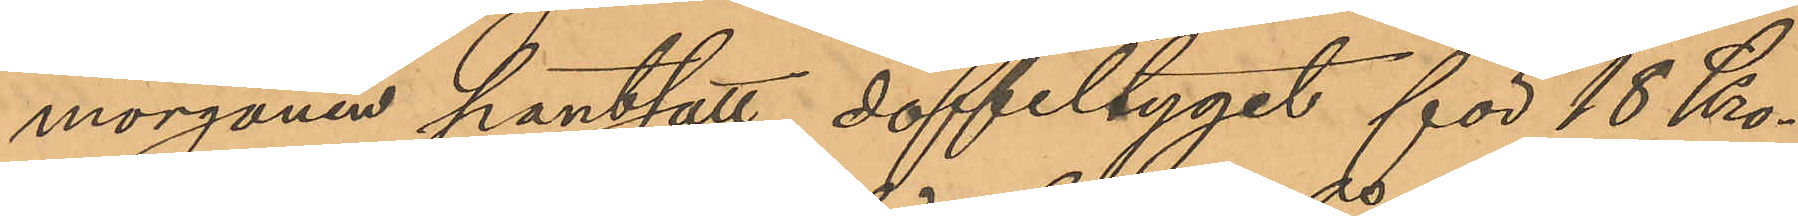morgonen pantsatt doffeltyget för 18 Kro¬
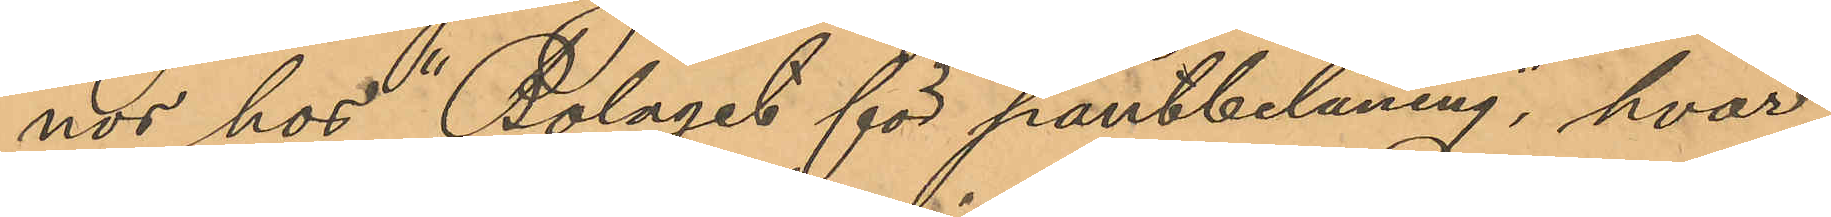nor hos "Bolaget för pantbelåning", hvar
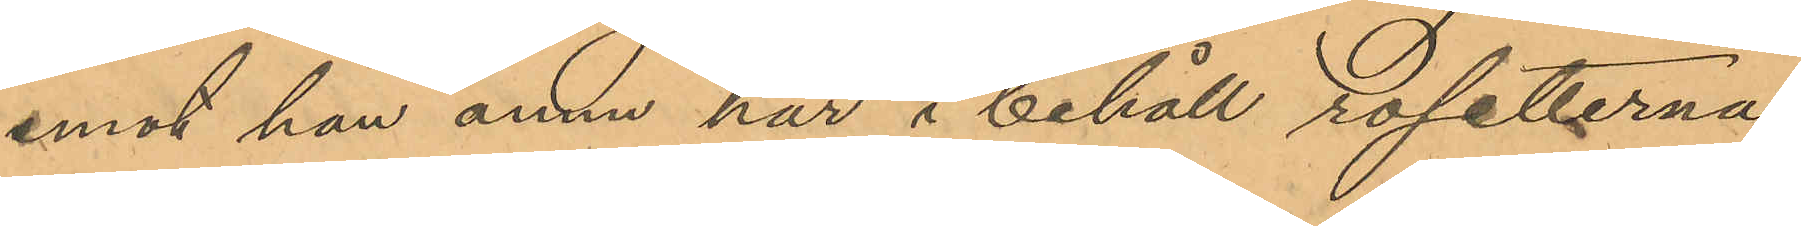emot han ännu har i behåll rosetterna
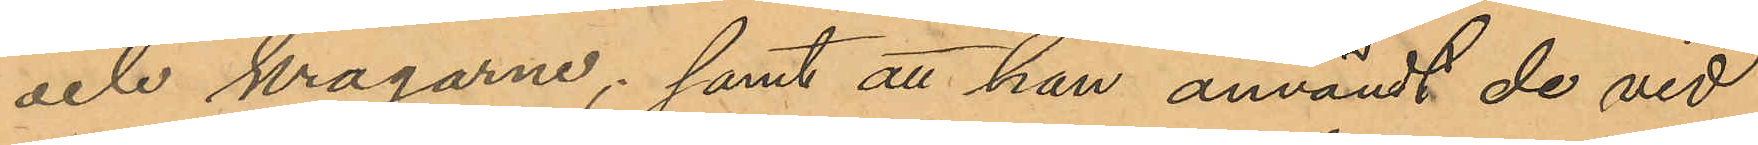och kragarne; samt att han användt de vid
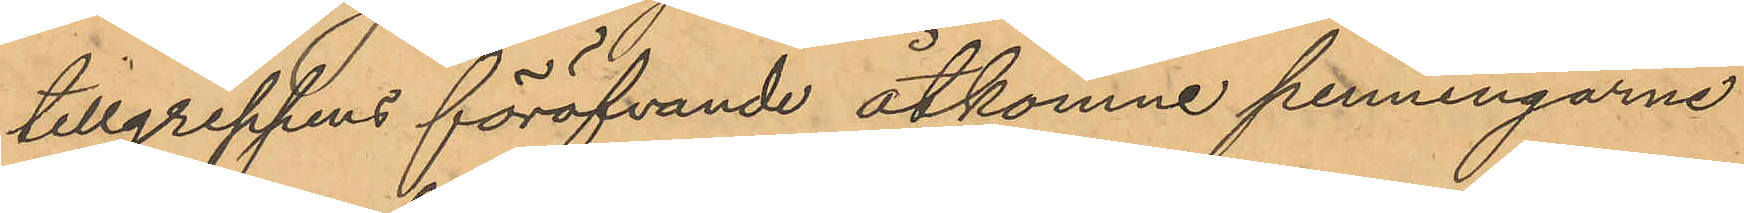tillgreppens föröfvande åtkomne penningarne
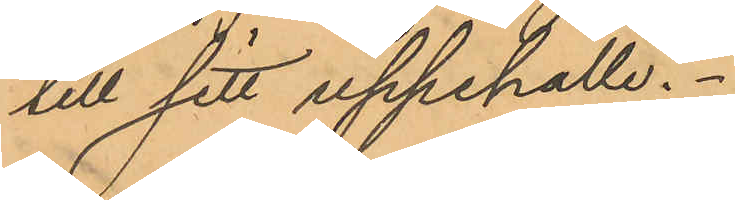till sitt uppehälle.
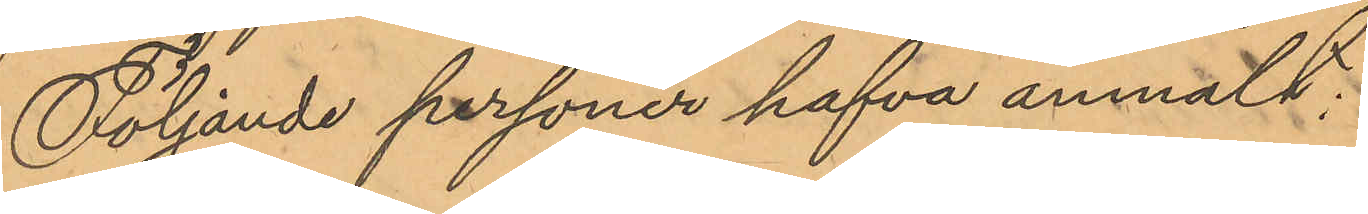Följande personer hafva anmält:
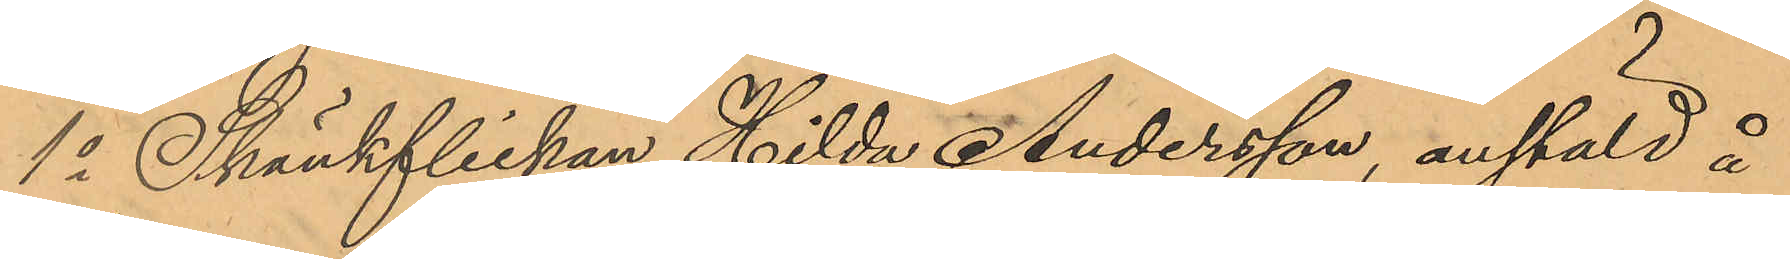1o Skänkflickan Hilda Andersson anstäld å
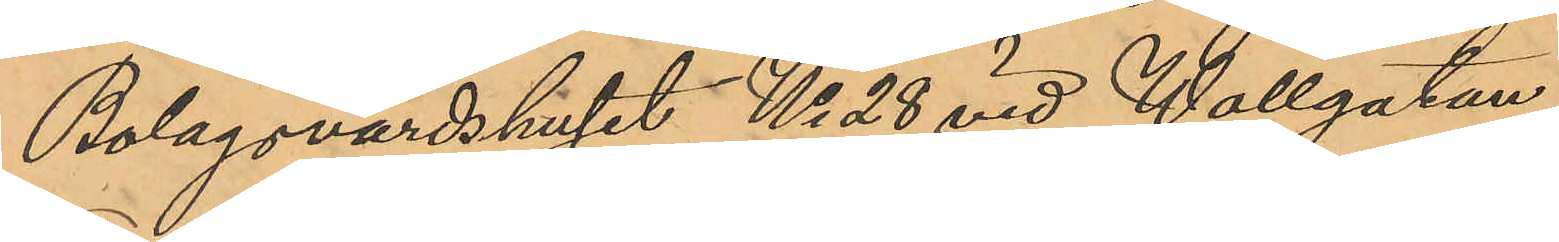Bolagsvärdshuset No 28 vid Wallgatan,
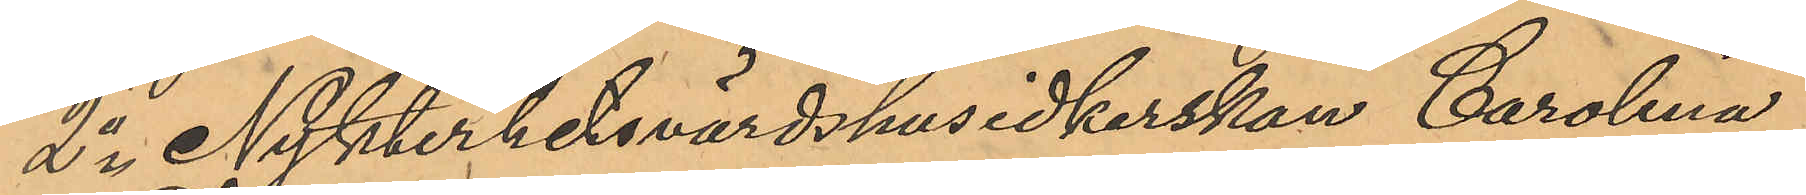2o Nykterhetsvärdshusidkerskan Carolina
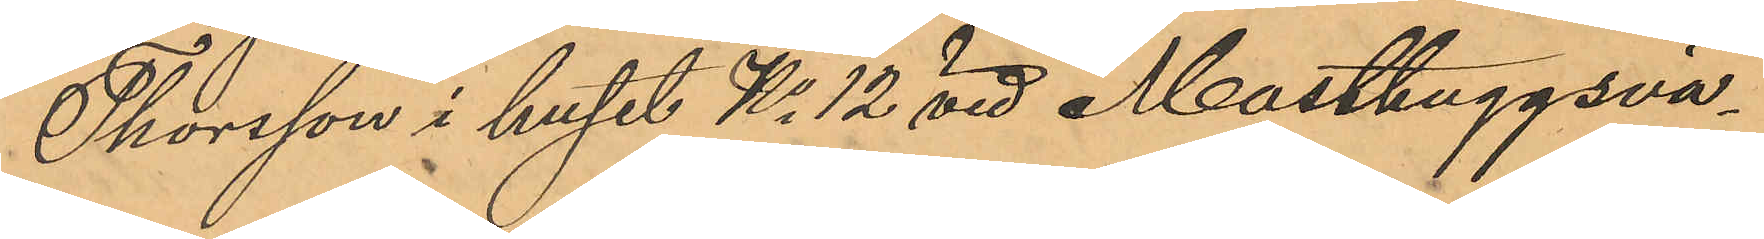Thorsson i huset No 12 vid Masthuggsvä¬
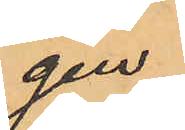gen.
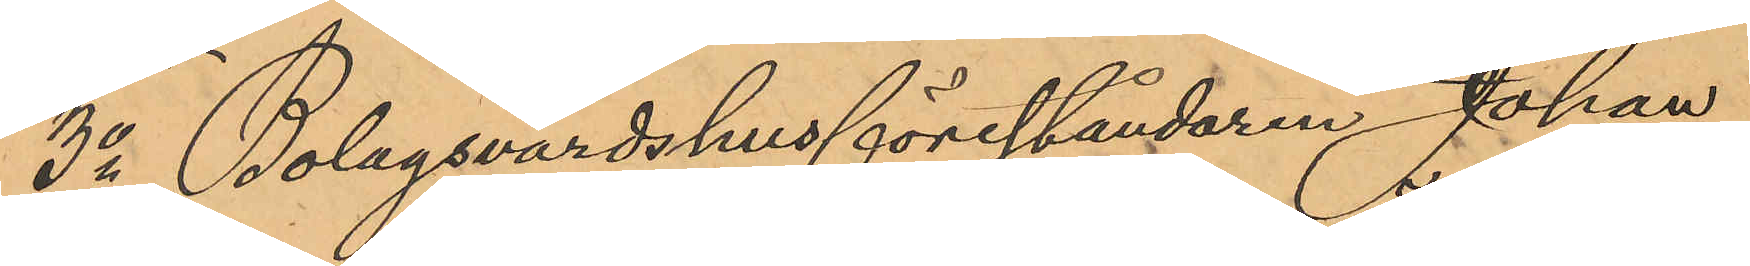3o Bolagsvärdshusföreståndaren Johan
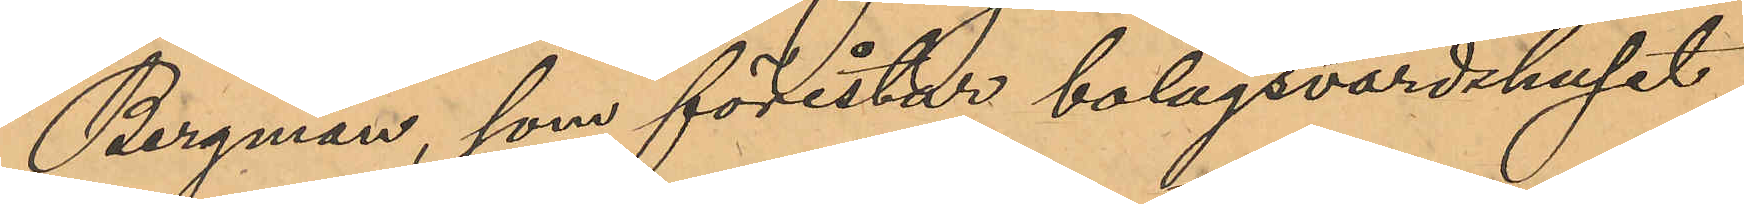Bergman, som förestår bolagsvärdshuset
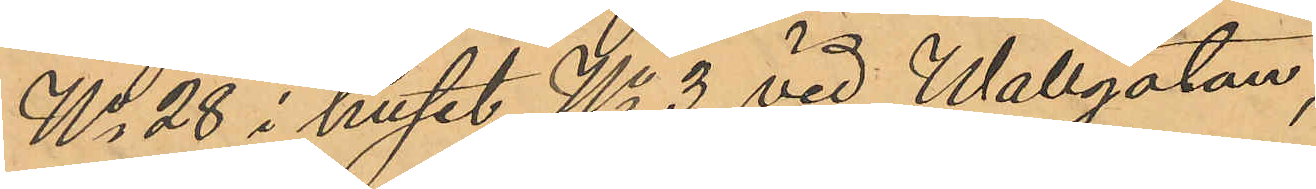No 28 i huset No 3 vid Wallgatan,
